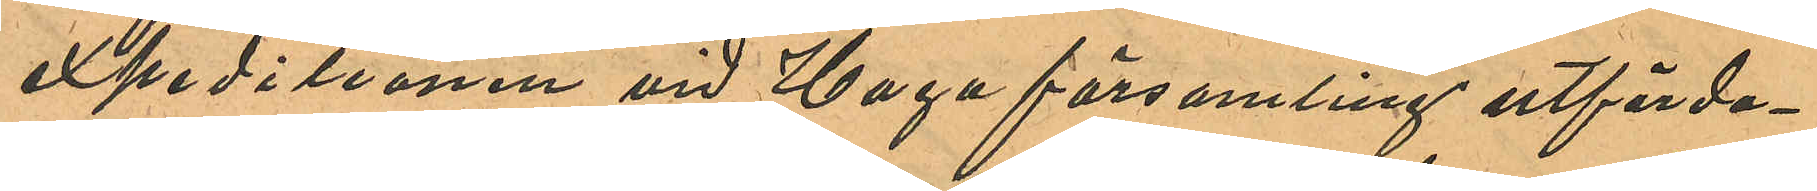expeditionen vid Haga församling utfärda¬
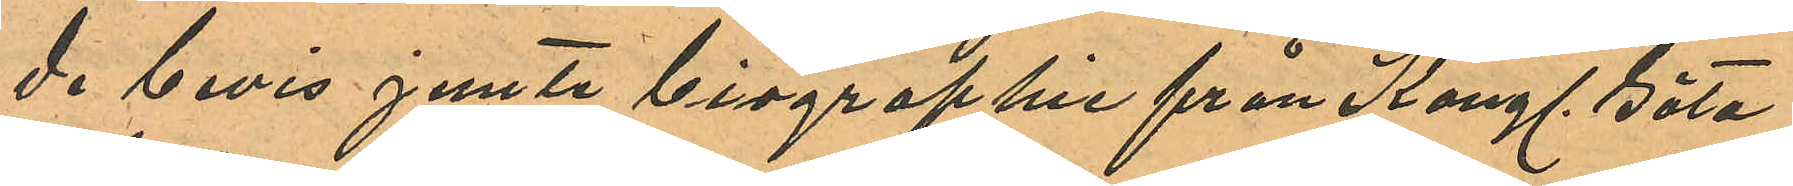de bevis jemte biographie från Kongl. Göta
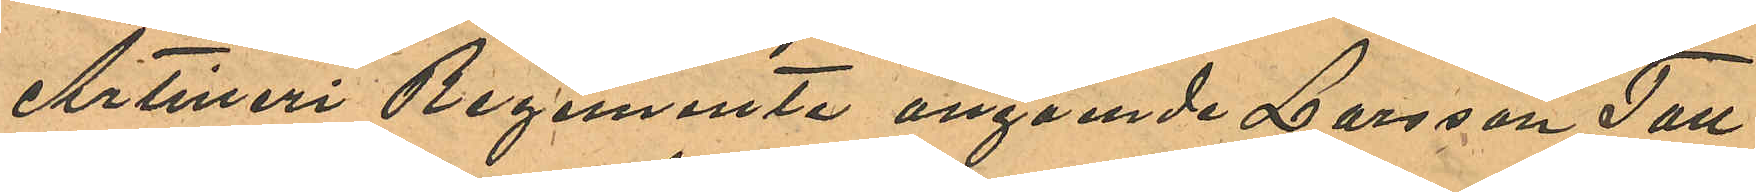Artilleri Regemente angående Larsson Tall
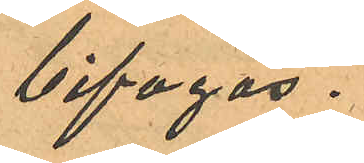bifogas.
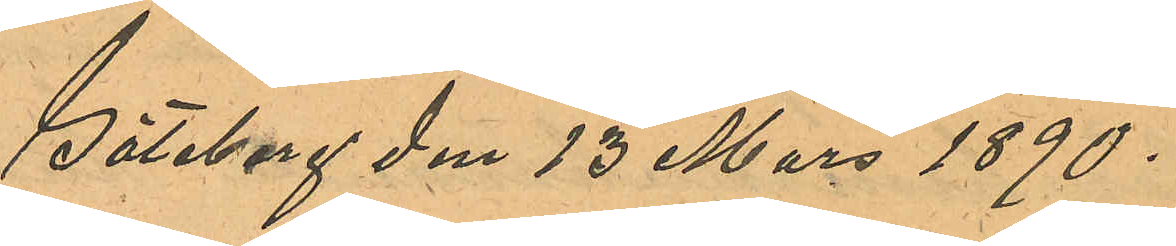Göteborg den 13 Mars 1890.
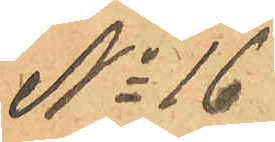No 16
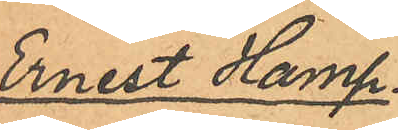Ernest Hamp¬
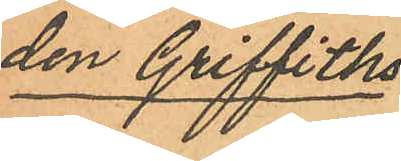den Griffiths.
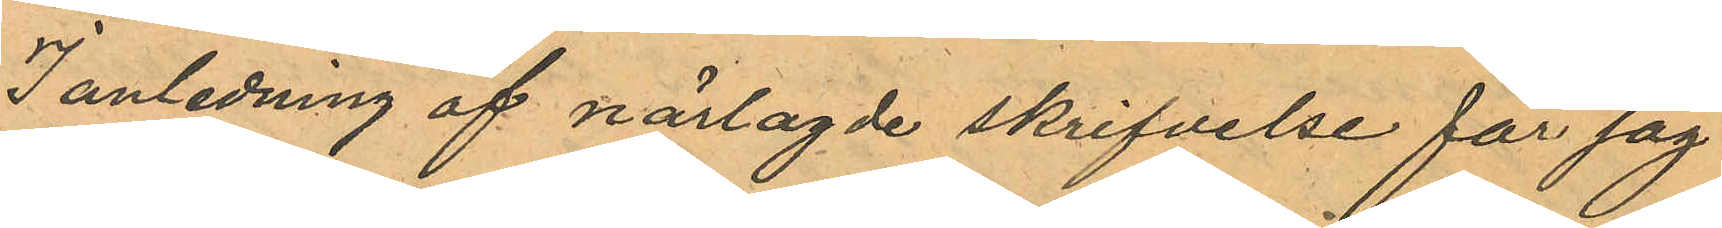I anledning af närlagde skrifvelse får jag
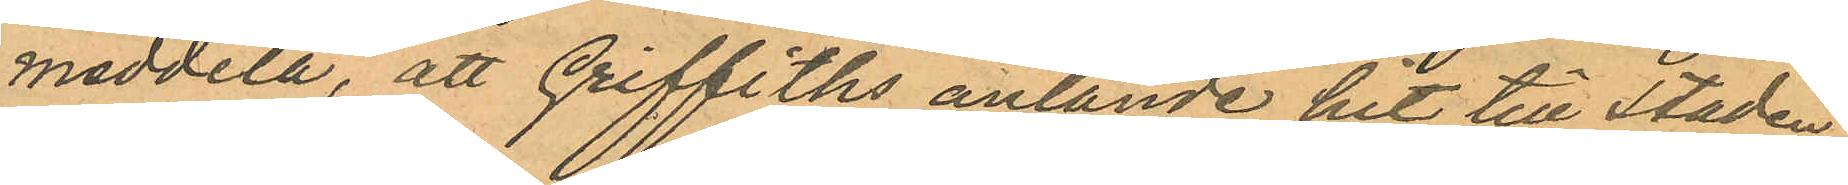meddela, att Griffiths anlände hit till staden
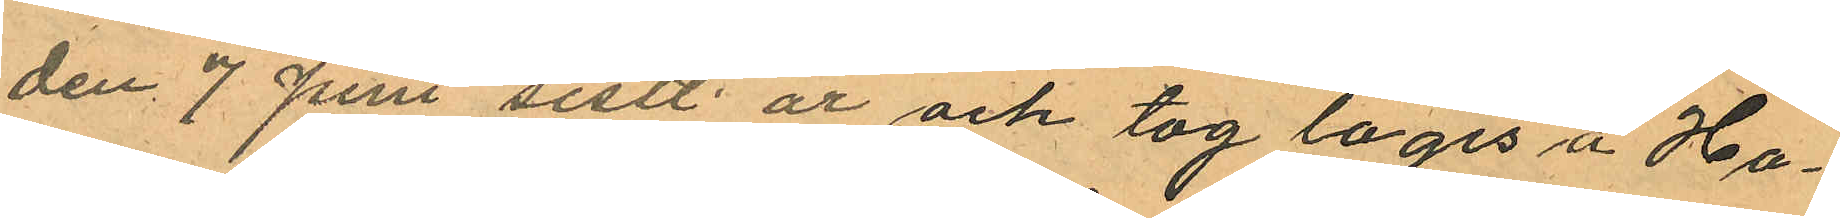den 7 Juni sistl. år och tog logis å Ho¬
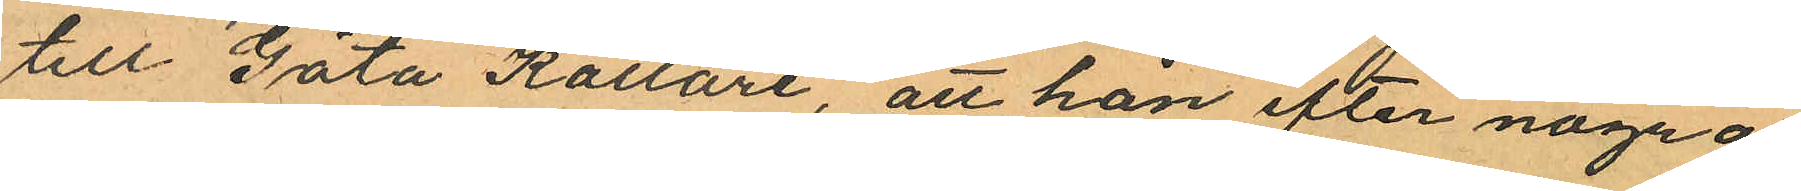till Göta Källare, att han efter några
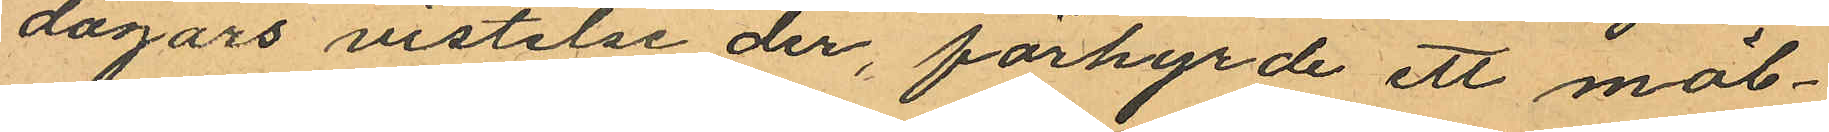dagars vistelse der, förhyrde ett möb¬
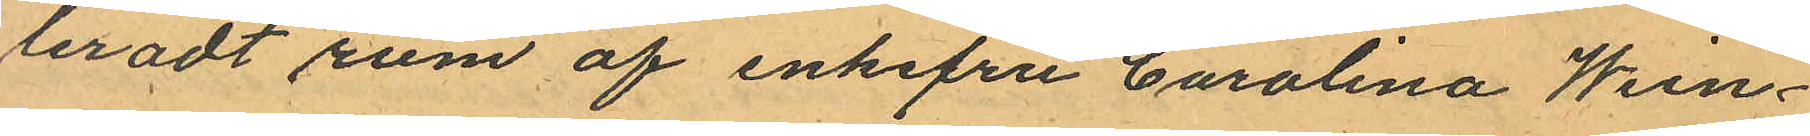leradt rum af enkefru Carolina Wein¬
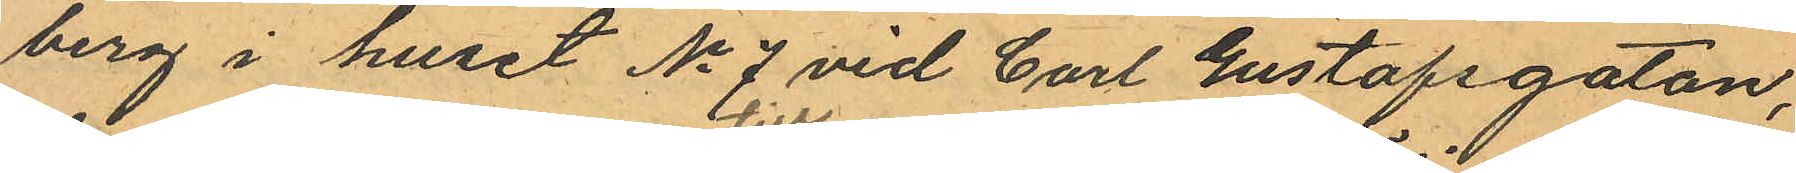berg i huset No 7 vid Carl Gustafsgatan,
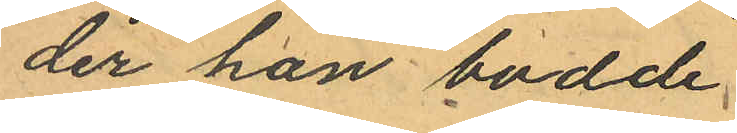der han bodde
